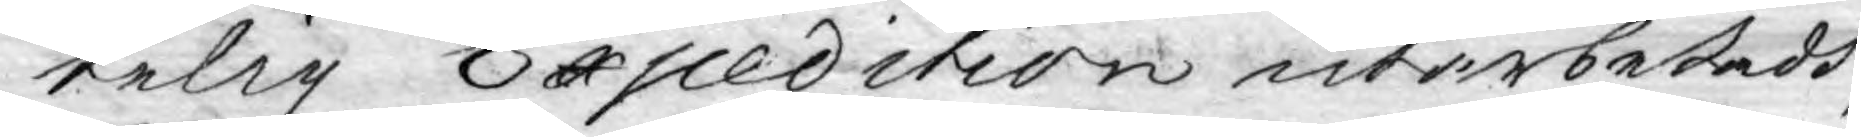telig Expedition utarbetadd,
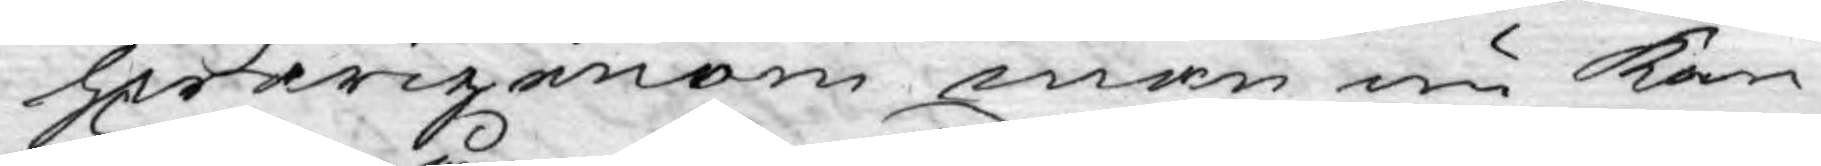hwarigenom, man nu kan
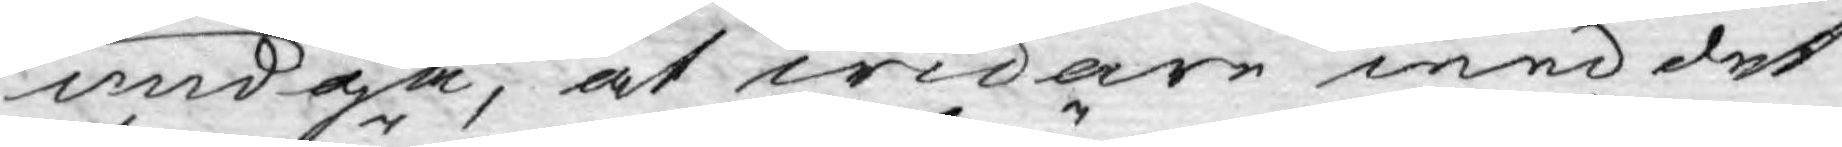undgå, at widare med det¬
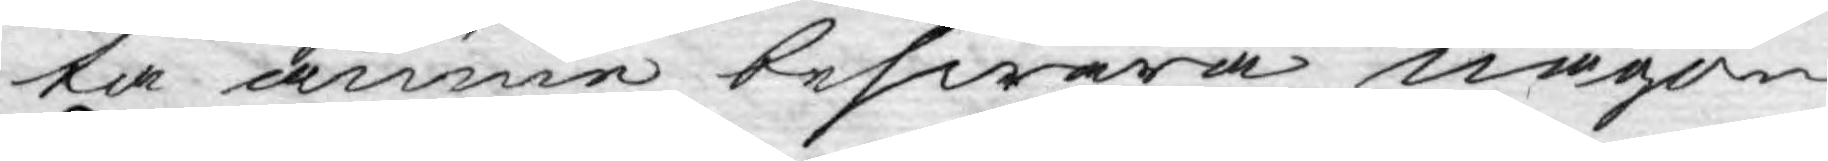ta ämne beswära någon
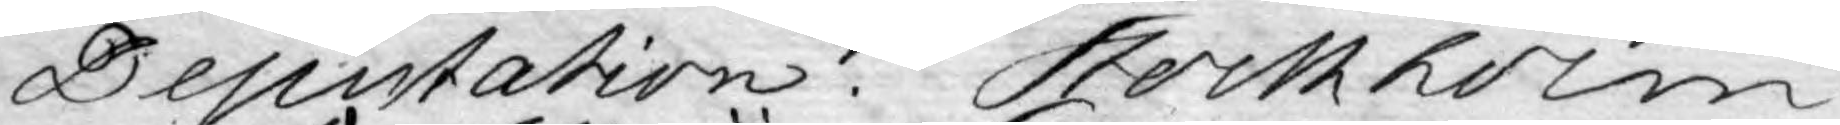Deputation. Stockholm
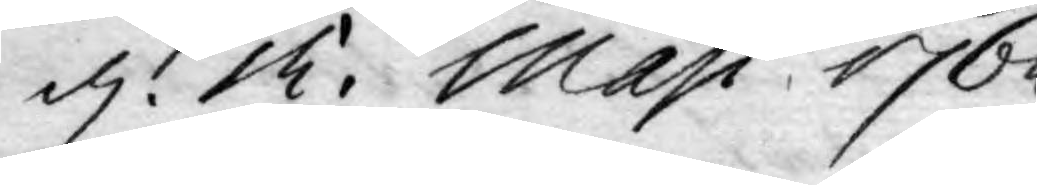d. 12. Maji 1765.
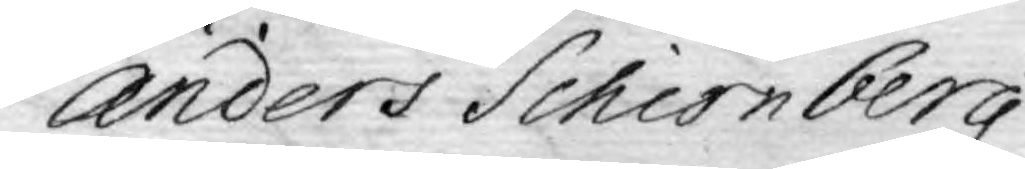Anders Schiönberg
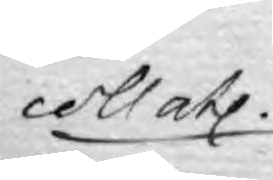coll atl
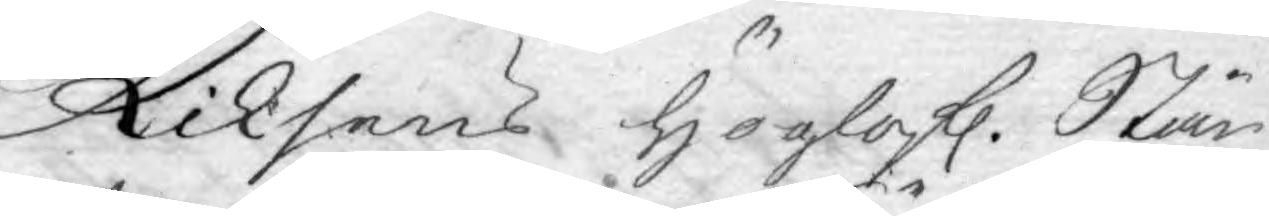Riksens Höglofl. Stän¬
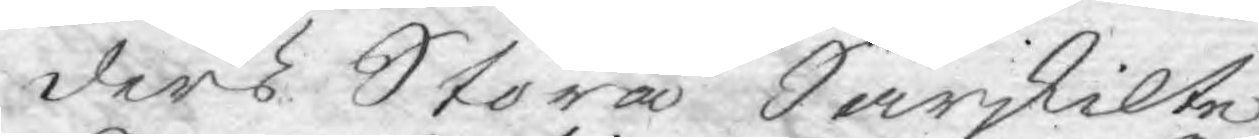ders Stora Särskilte
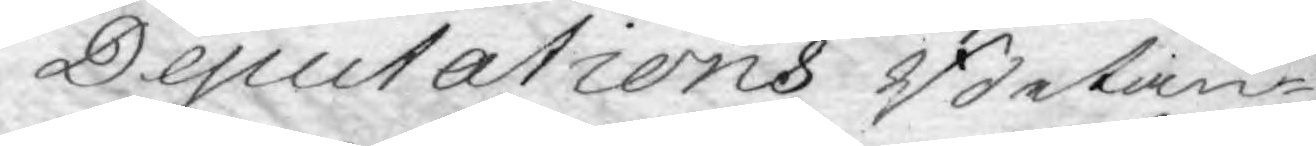Deputations Betän¬
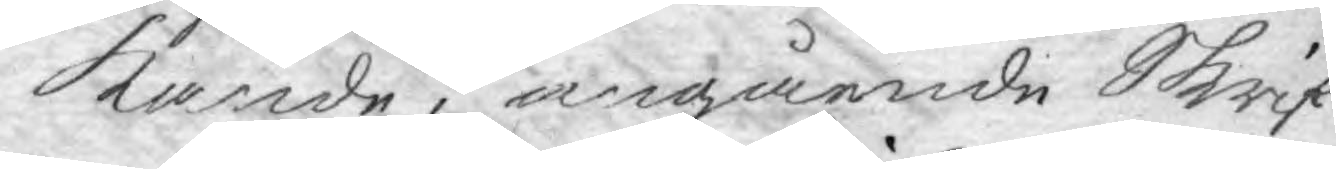kande, angående Skrif 
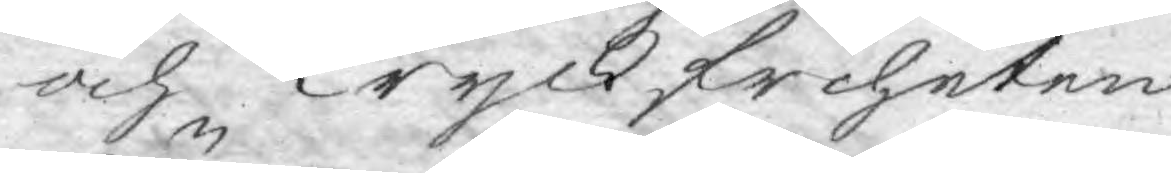och Tryckfriheten.
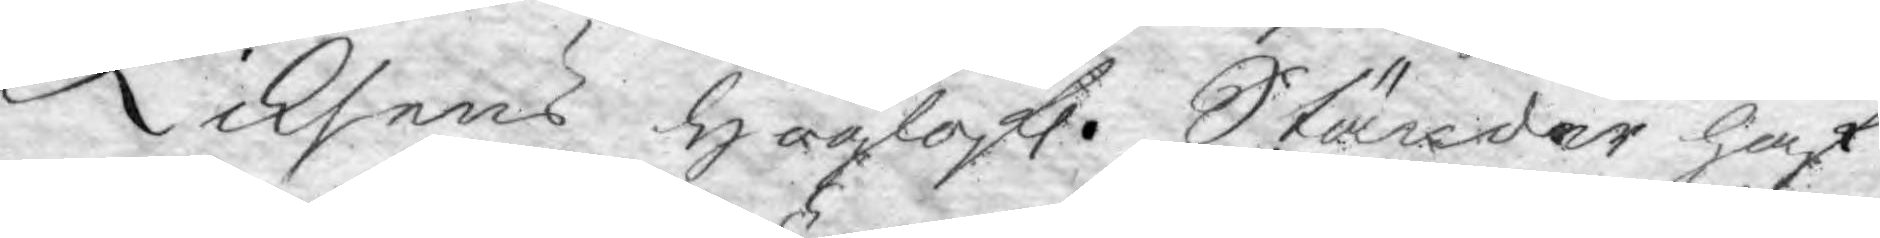Riksens Höglofl. Ständer haf¬
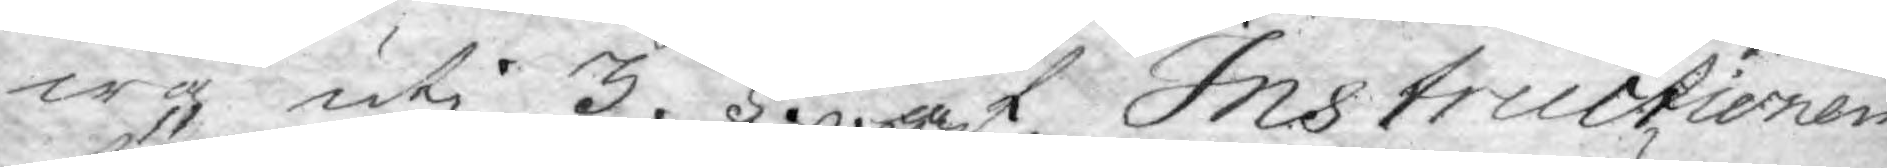wa uti 3. §. af Instructionen
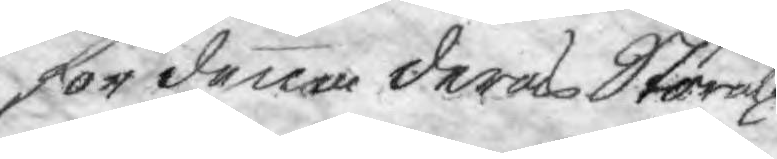för denna deras Stora
